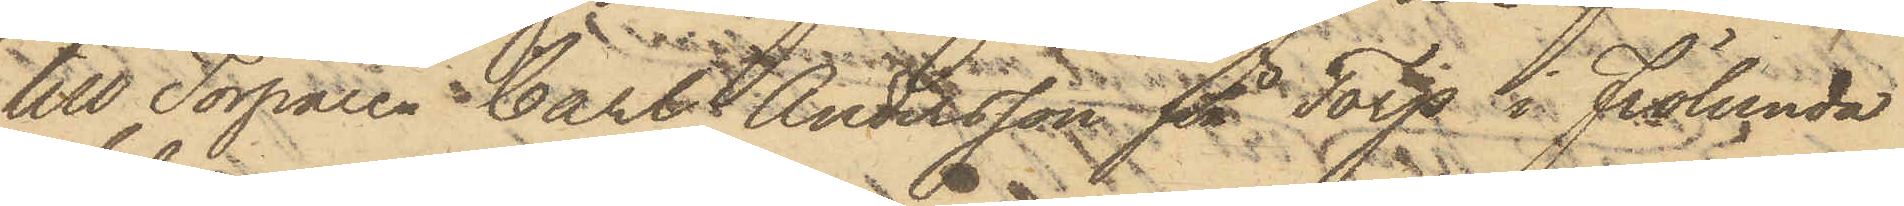till Torparen Carl Andersson på Torp i Frölunda
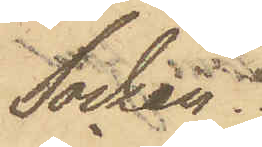Socken.
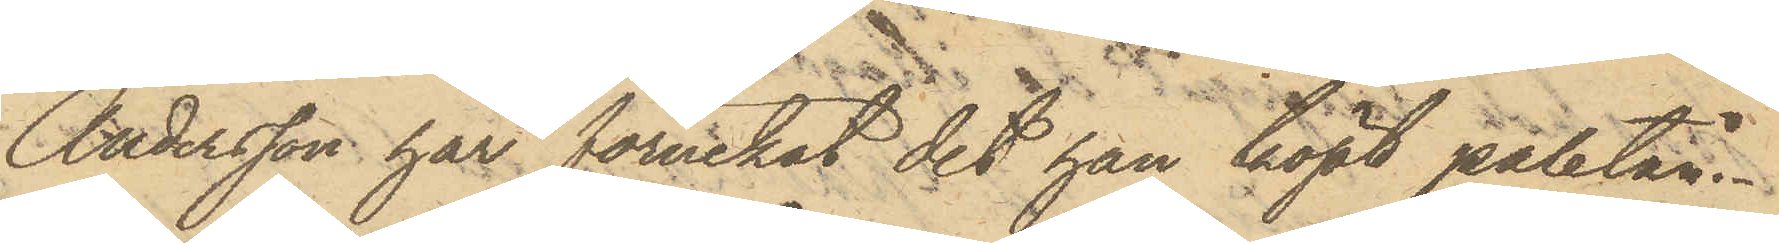Andersson har förnekat det han köpt paletån.
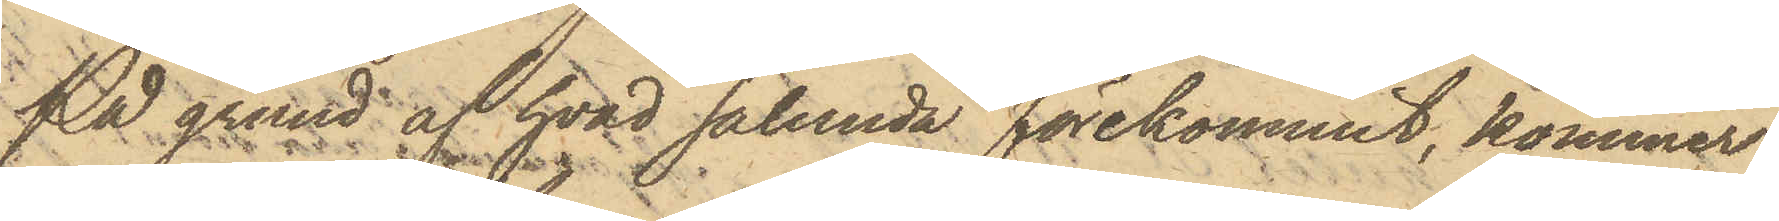På grund af hvad sålunda förekommit, kommer
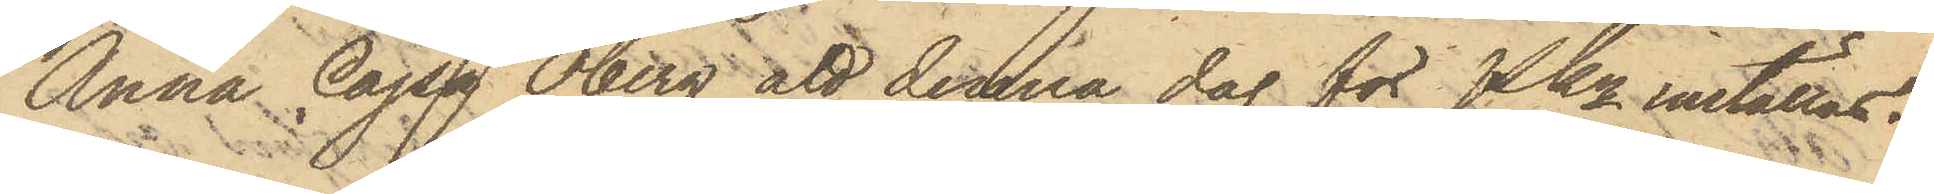Anna Cajsa Öberg att denna dag för PKn inställas.
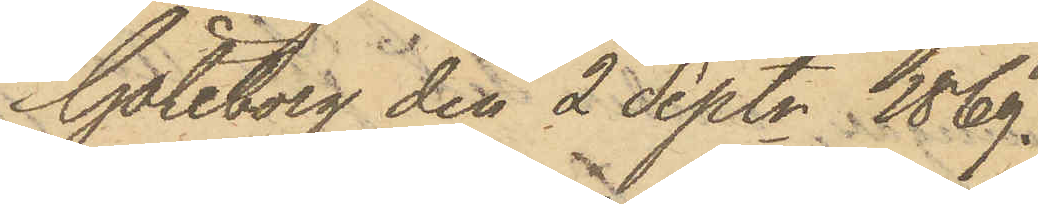Göteborg den 2 Sept. 1869.
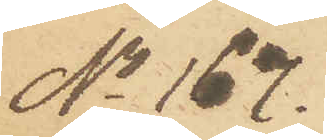No 167.
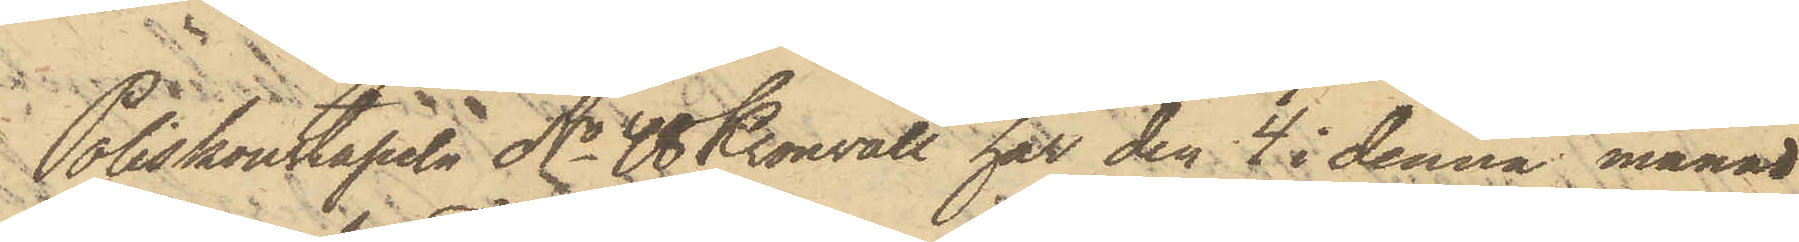Poliskonstapeln No 48 Kronvall har den 4 i denna månad
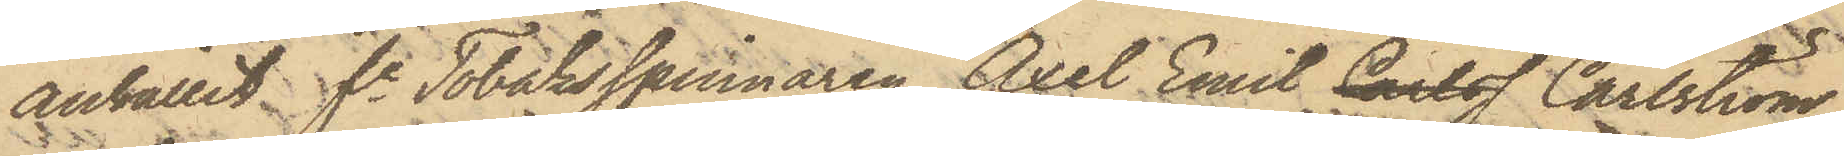anhållit fe Tobaksspinnaren Axel Emil Carlss Carlström
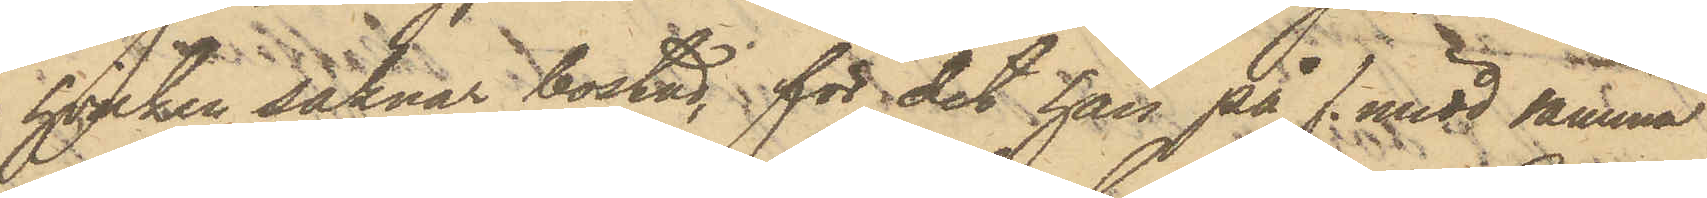hvilken saknar bostad, för det han på f. midd samma
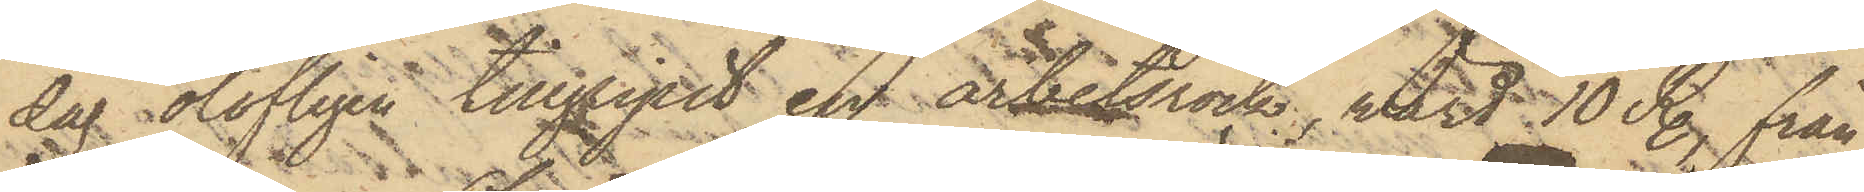dag olofligen tillgripit en arbetsrock, värd 10 R., från
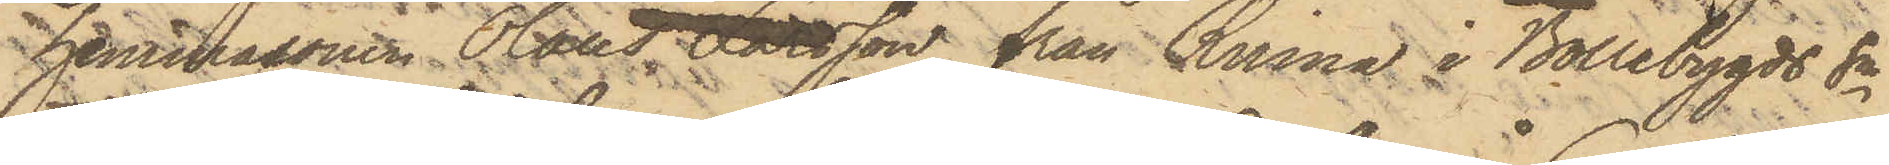hemmasonen Olaus Larsson från Rinna i Bollebygds Sn
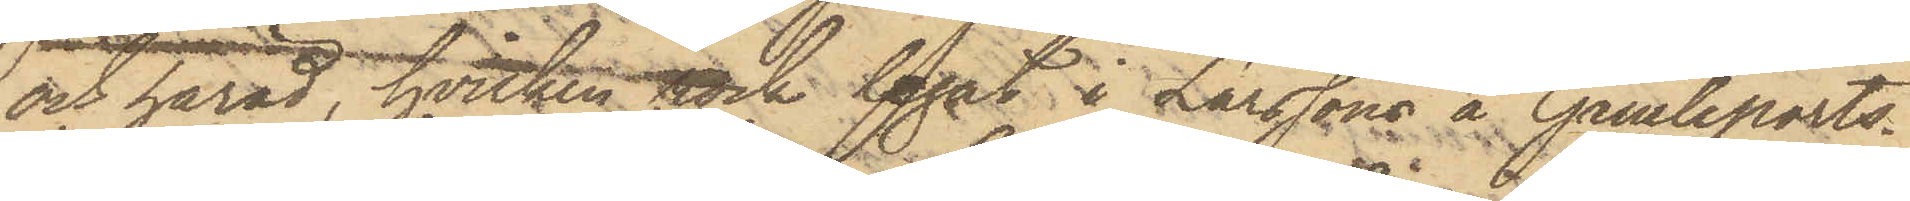och härad, hvilken rock legat i Larssons å Gamleports¬
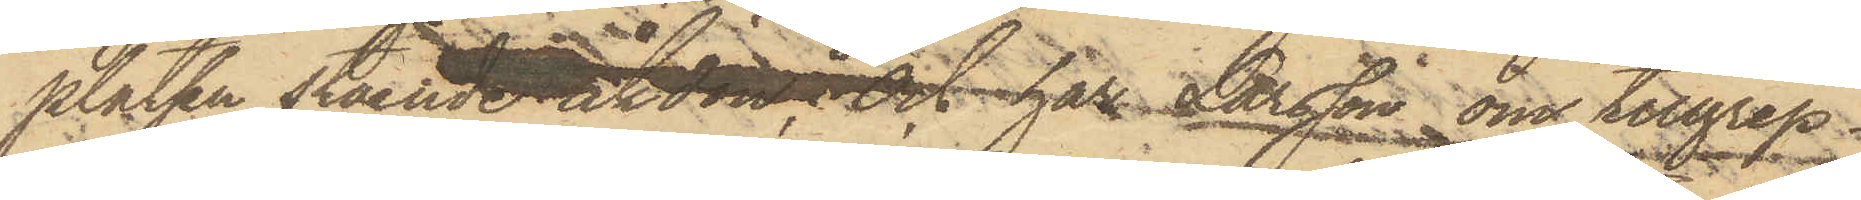platsen stående åkdon; och har Larsson om tillgrep¬
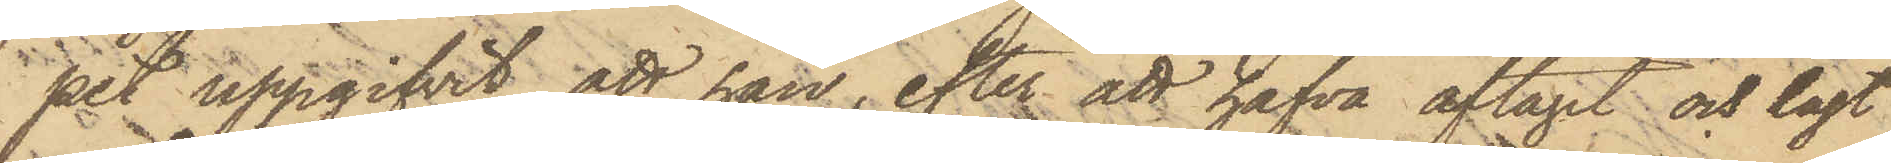pet uppgifvit, att han, efter att hafva aftagit och lagt
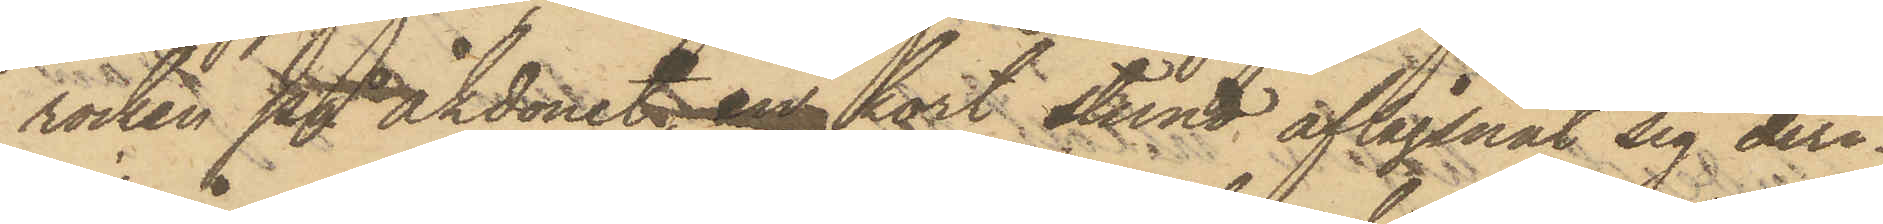rocken på åkdonet, en kort stund aflägsnat sig der¬
